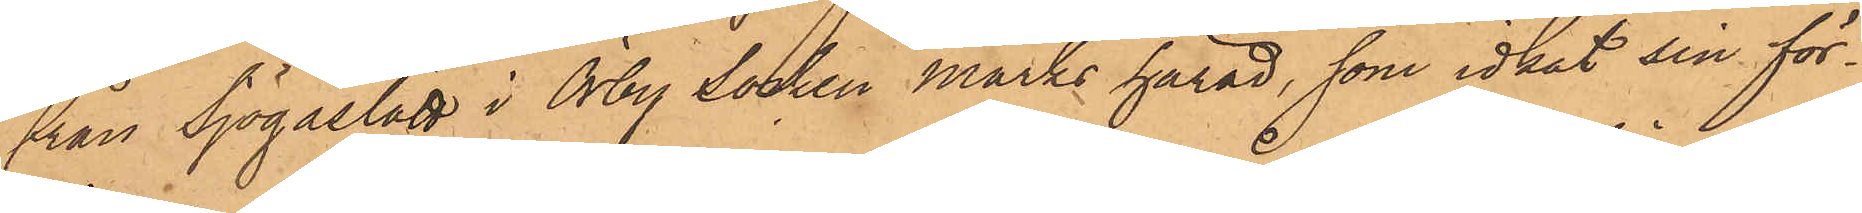från Sjögaslätt i Örby Socken Marks härad, som idkat sin för¬
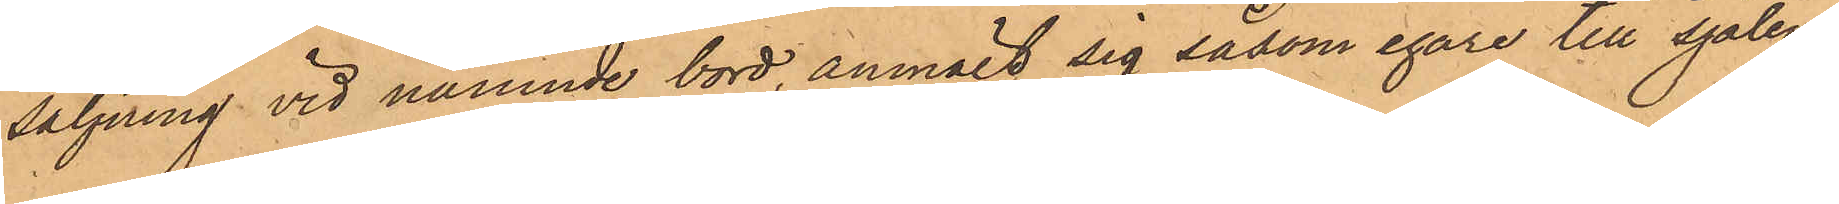säljning vid nämnde bord, anmält sig såsom egare till sjalen
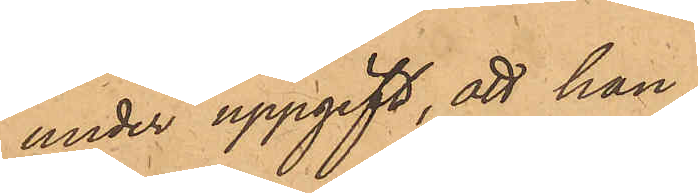under uppgift, att han,
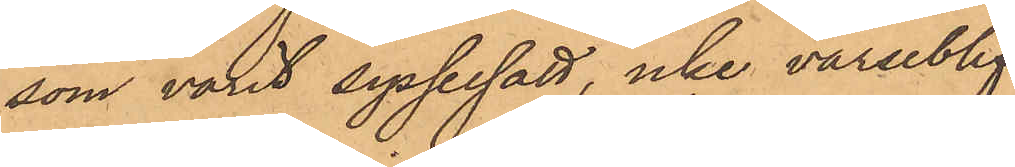som varit sysselsatt, icke varseblif¬
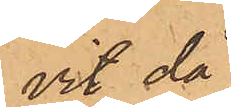vit då
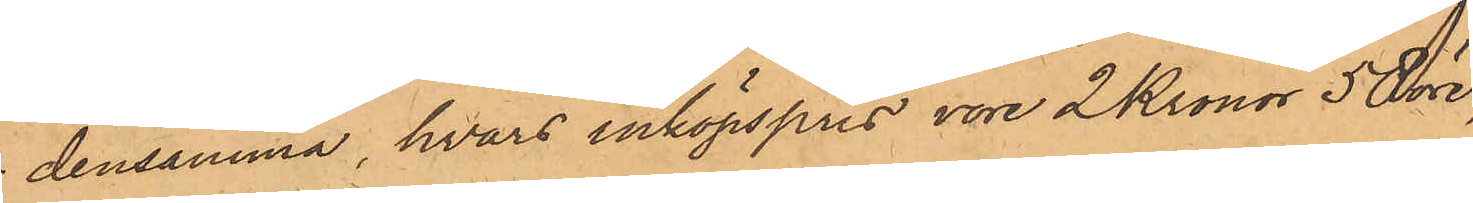densamma, hvars inköpspris vore 2 Kronor 50 öre,
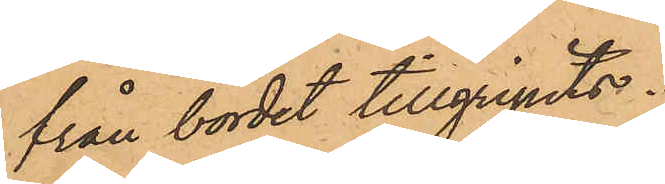från bordet tillgripits.
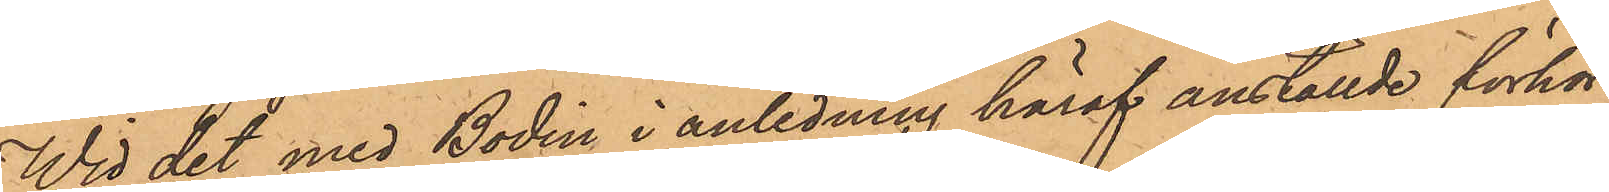Wid det med Bodin i anledning häraf anställde förhör
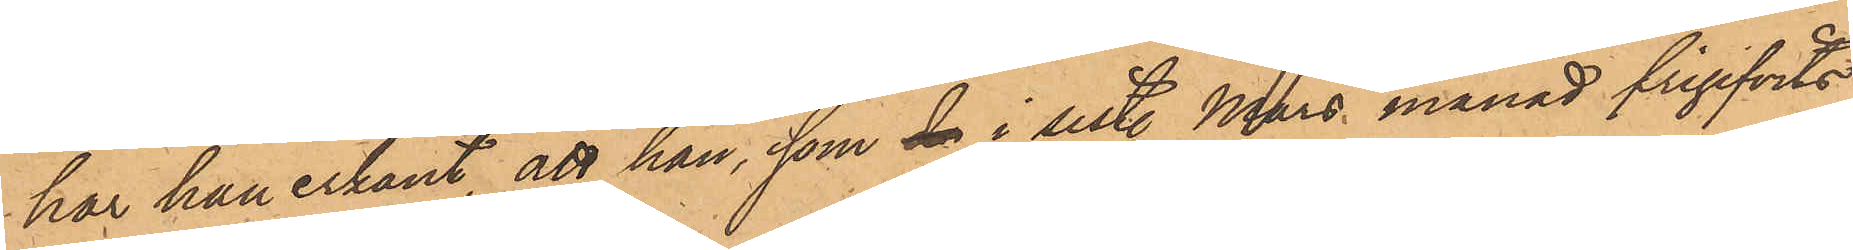har han erkänt, att han, som den i sist. Mars månad frigifvits
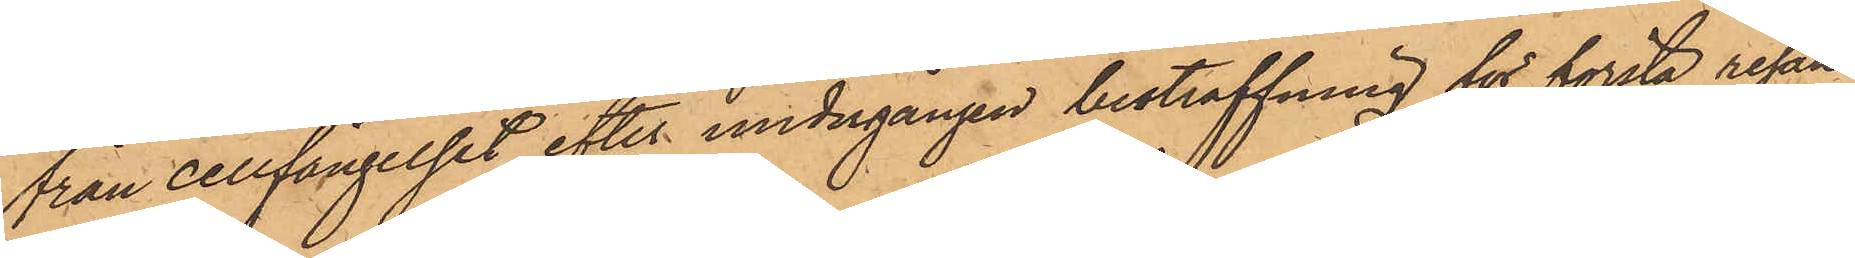från cellfängelset efter undergången bestraffning för första resan
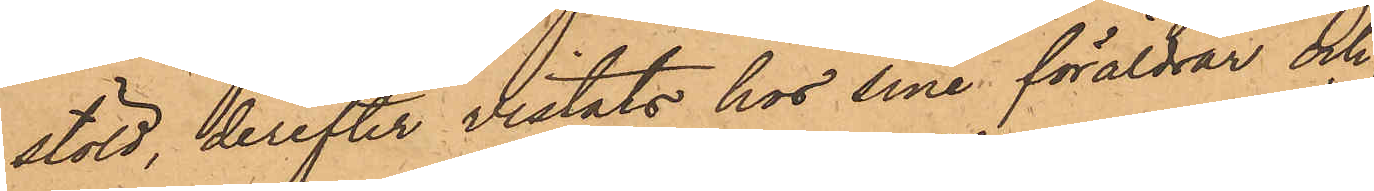stöld, derefter vistats hos sina föräldrar och
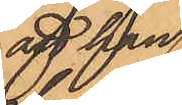att han
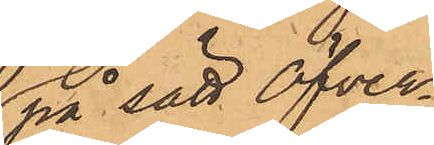på sätt Öfver¬
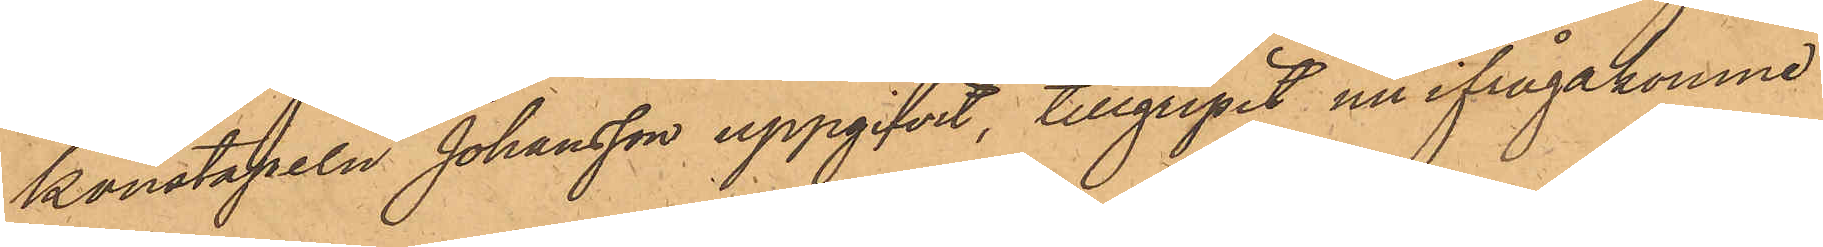konstapeln Johansson uppgifvit, tillgripit nu ifrågakomne
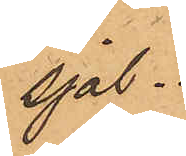sjal.
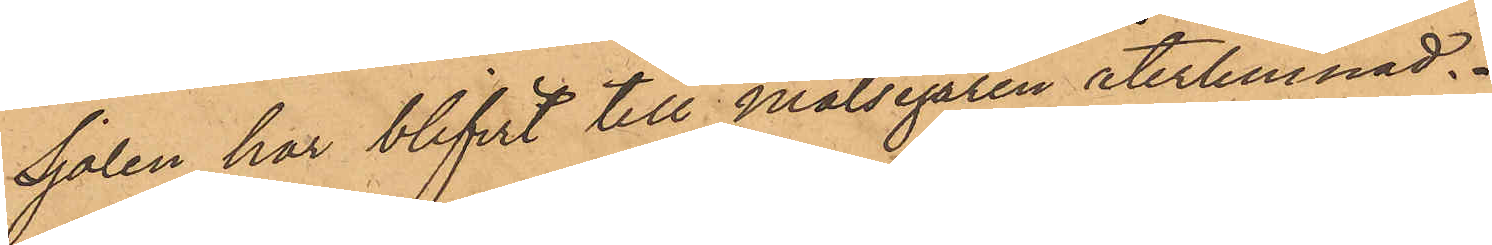Sjalen har blifvit till målsegaren återlemnad.
